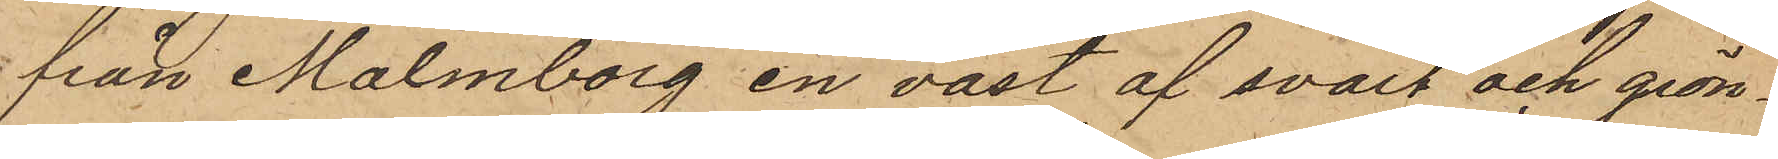från Malmborg en väst af svart och grön¬
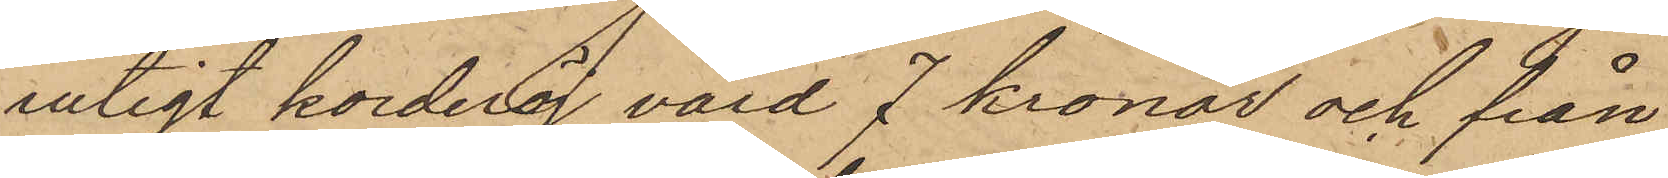rutigt korderoj, värd 7 kronor och från
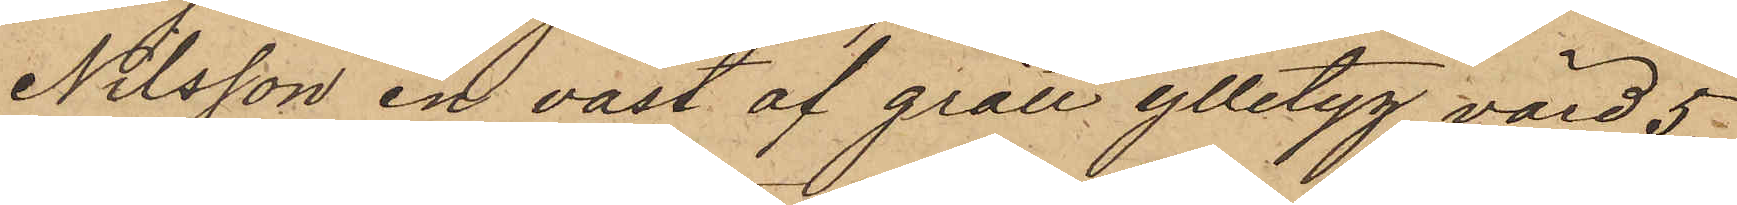Nilsson en väst af grått ylletyg, värd 5
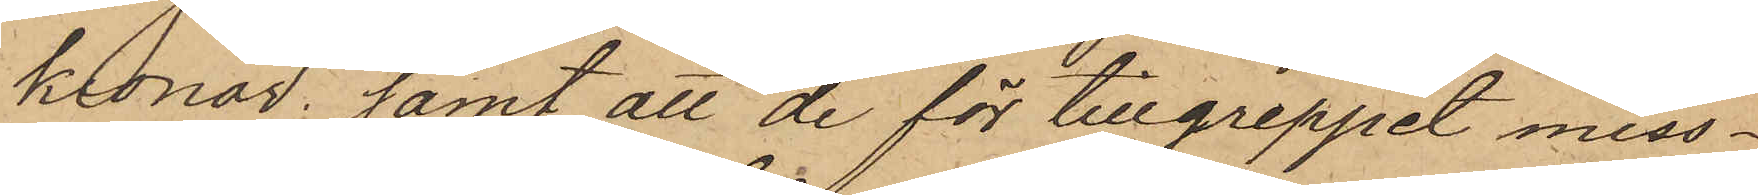kronor; samt att de för tillgreppet miss¬
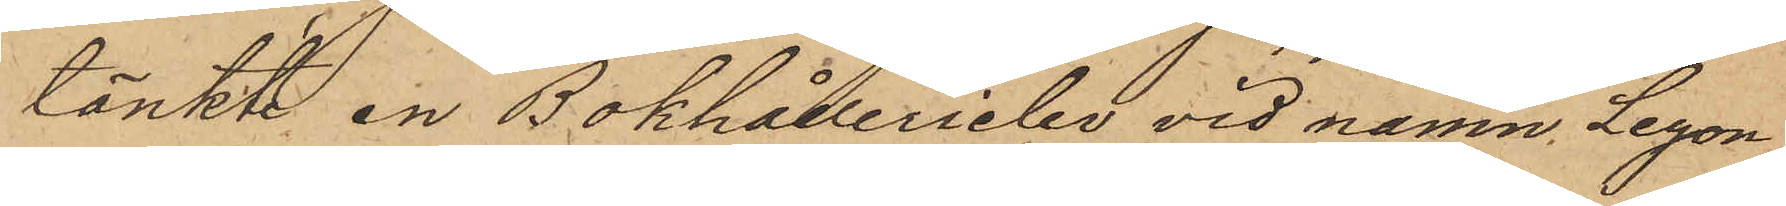tänkte en Bokhållerielev vid namn Leyon¬
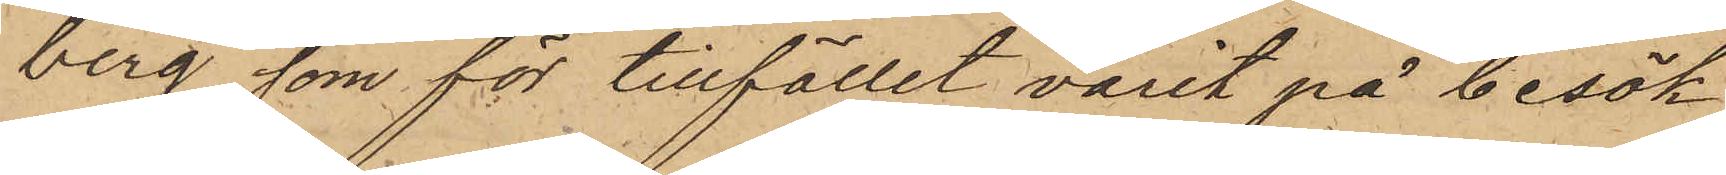berg, som för tillfället varit på besök
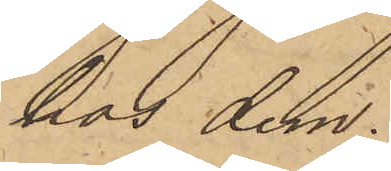hos dem.
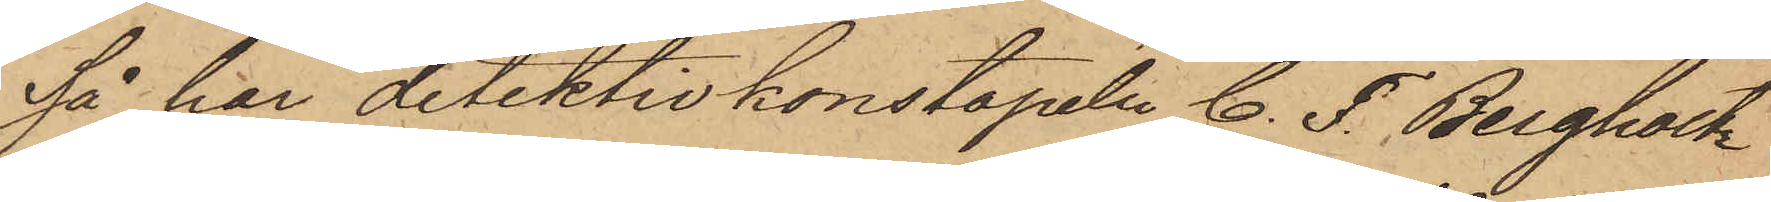Så har detektivkonstapeln C. F. Bergholtz
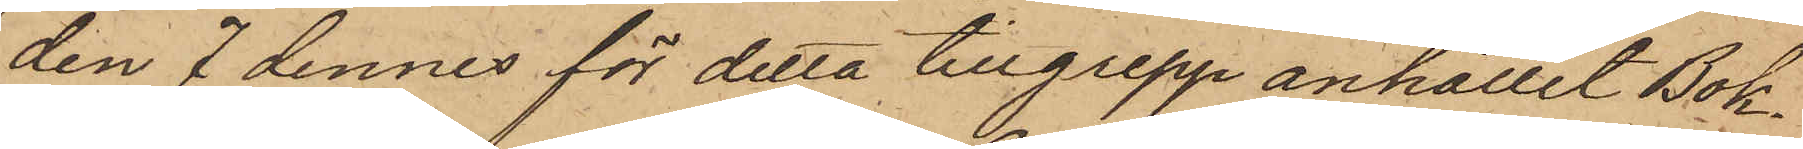den 7 dennes för detta tillgrepp anhållit Bok¬
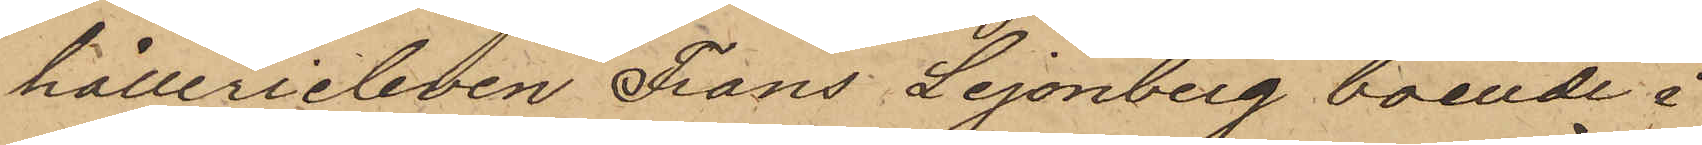hållerieleven Frans Lejonberg, boende i
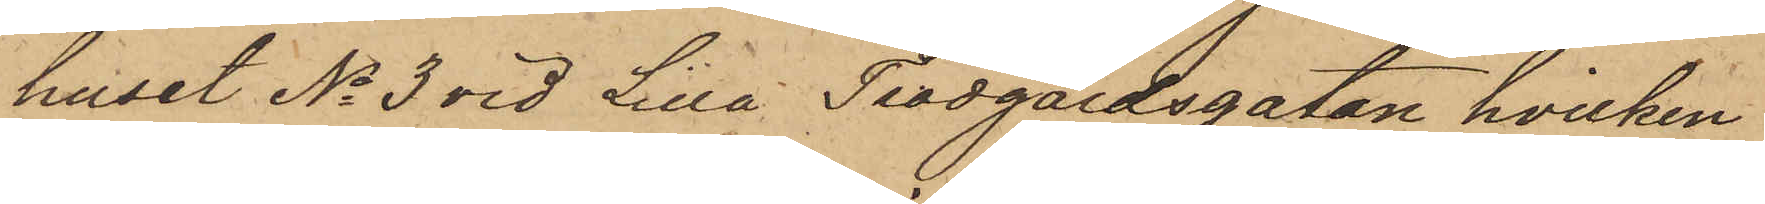huset No 3 vid Lilla Trädgårdsgatan, hvilken
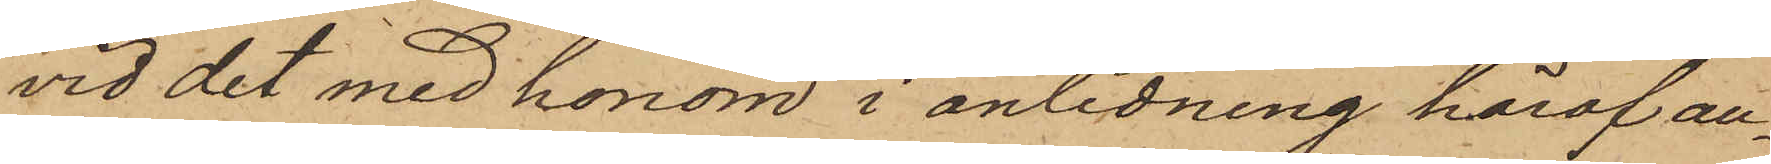vid det med honom i anledning häraf an¬
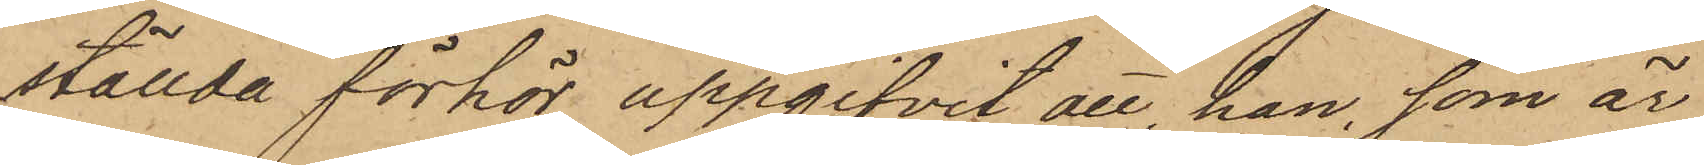ställda förhör uppgifvit, att, han, som är
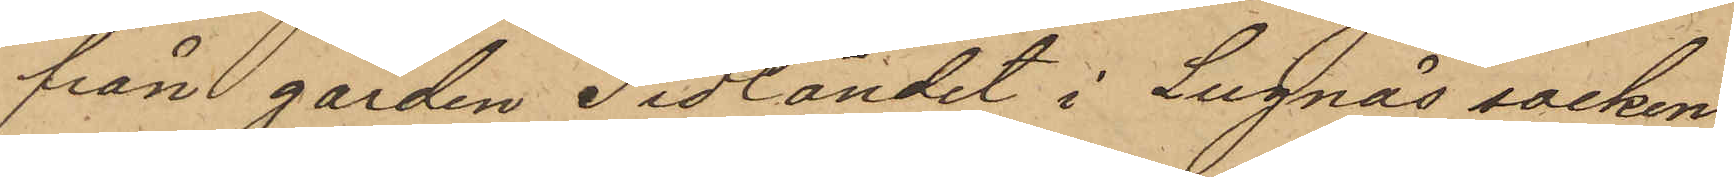från gården Sidländet i Lugnås socken
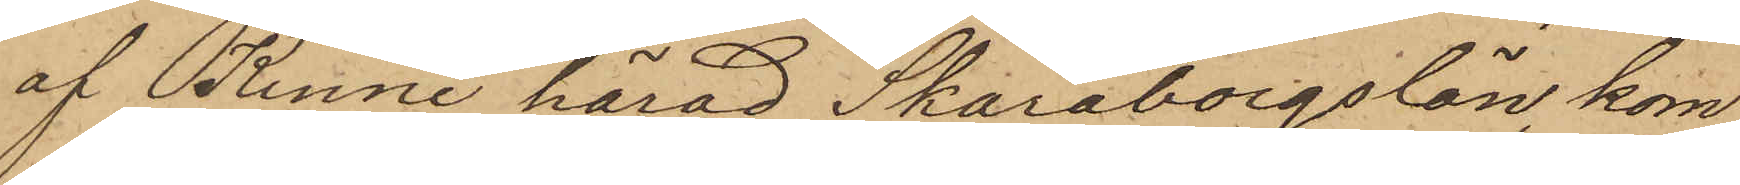af Kinne härad Skaraborgs län, kom¬
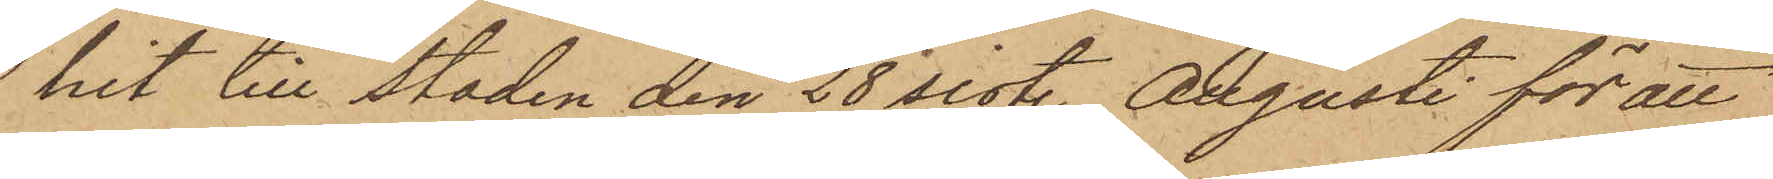mit till Staden den 28 sist. Augusti för att
